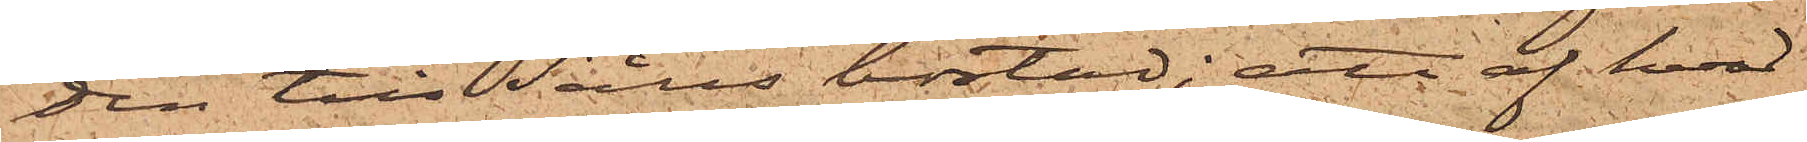den till Sälls bostad; att af hvad
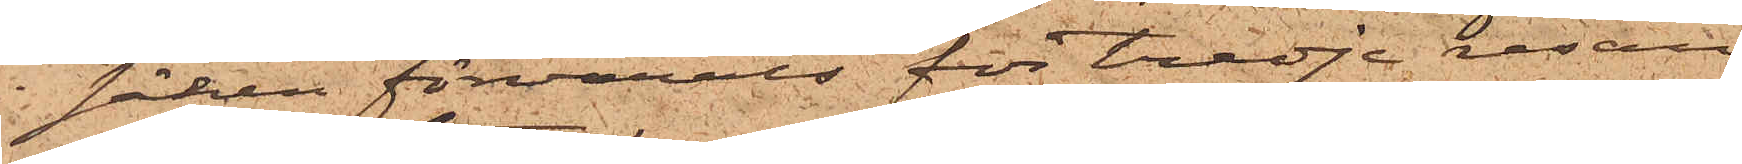i säcken förvarats för tredje resan
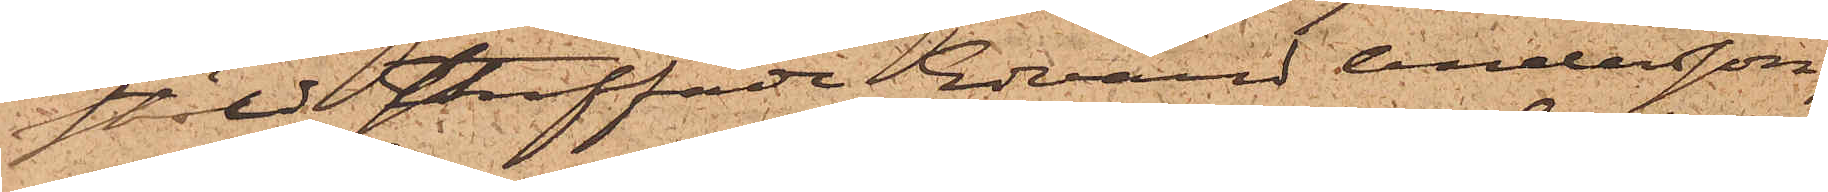stöld straffade Edvard Andersson,
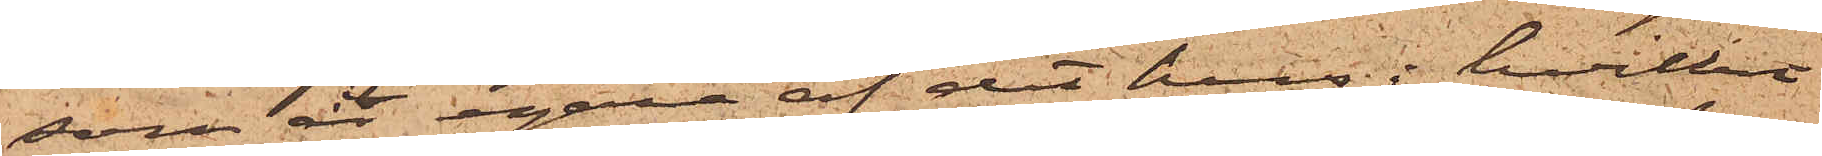som är egare af det hus i hvilket
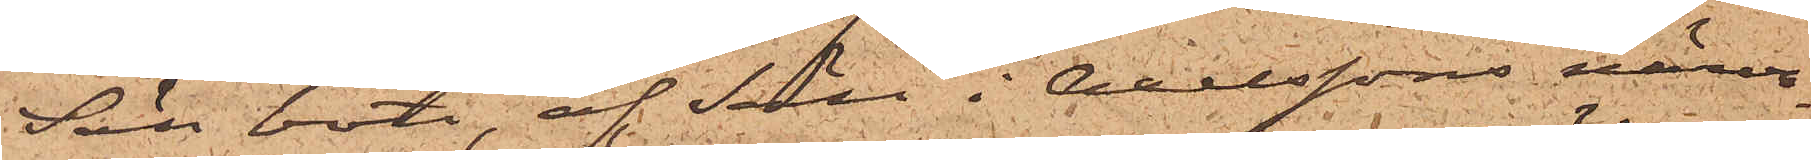Säll bott, af Säll i Axelssons närva¬
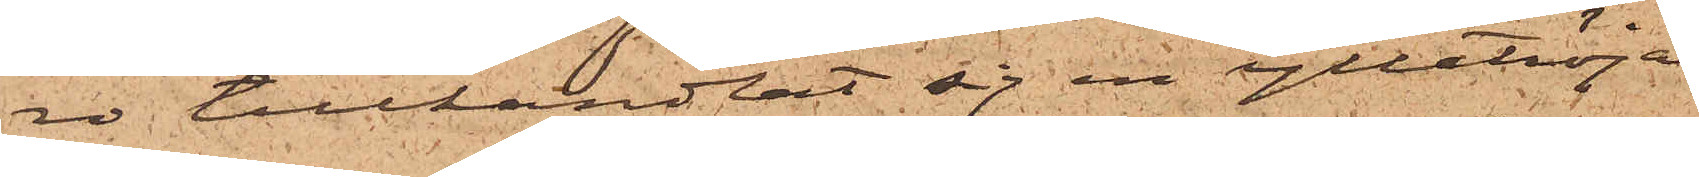ro tillhandlat sig en ylletröja,
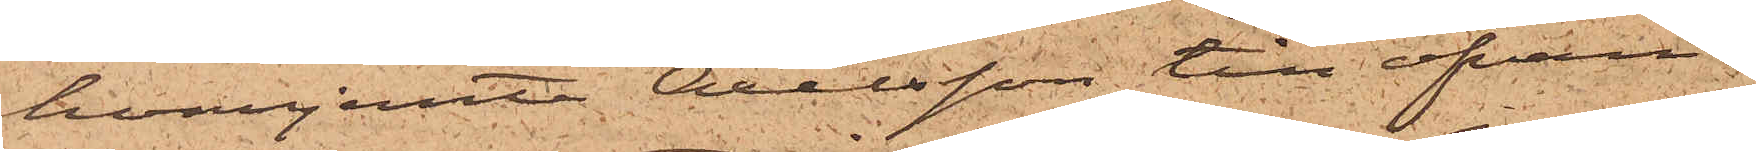hvarjemte Axelsson till ofvan¬
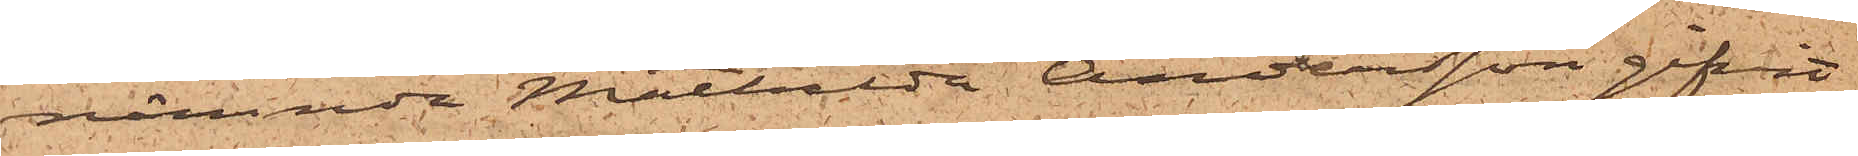nämnda Mathilda Andersson gifvit
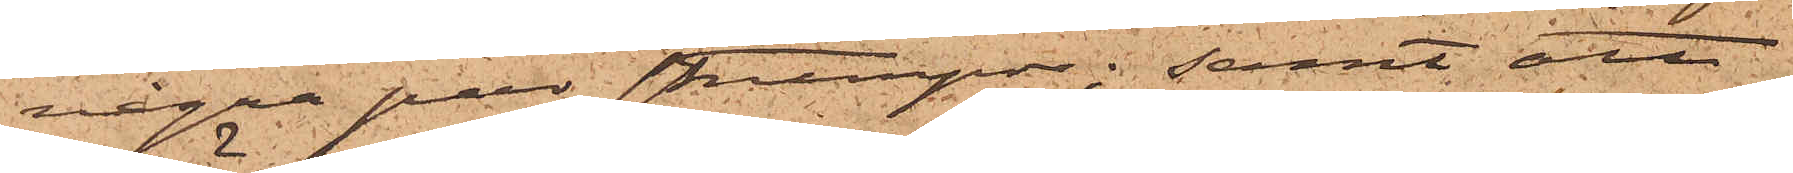några par strumpor; samt att
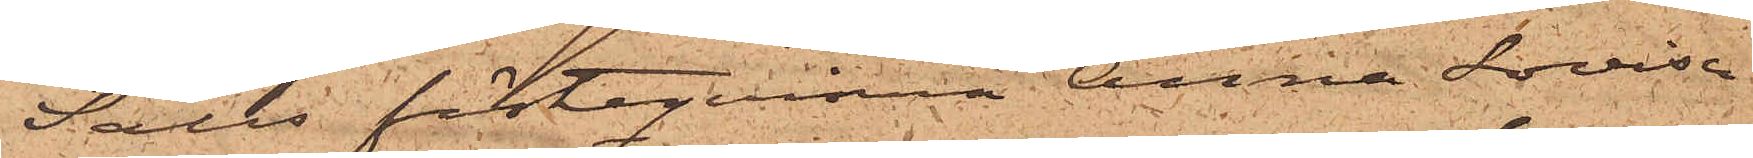Sälls fästeqvinna Anna Lovisa
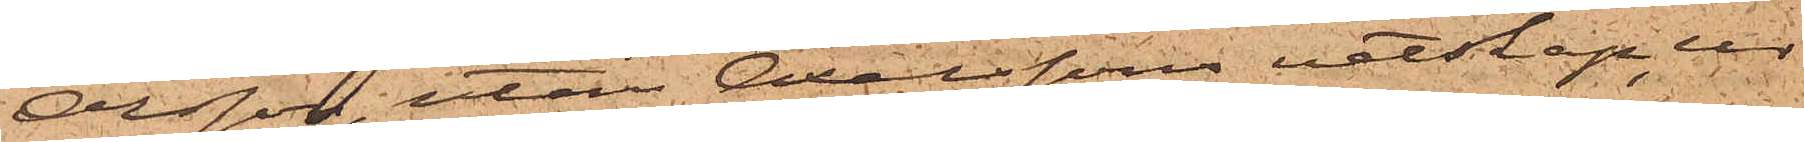Olsson, utan Axelssons vetskap, ur
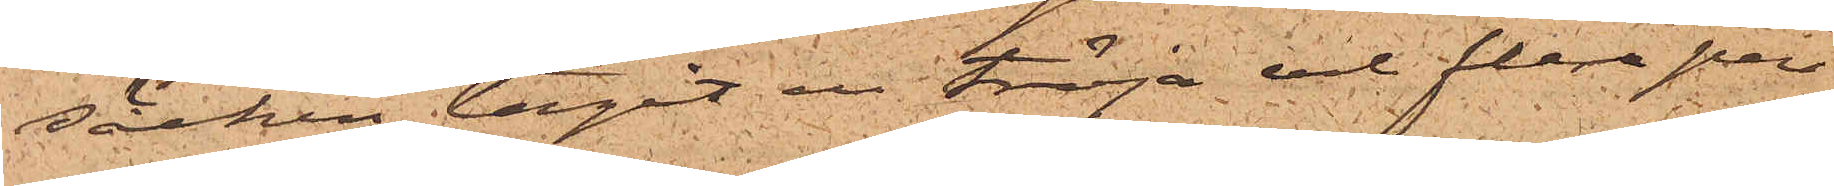säcken tagit en tröja och flera par
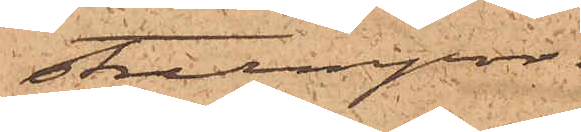strumpor;
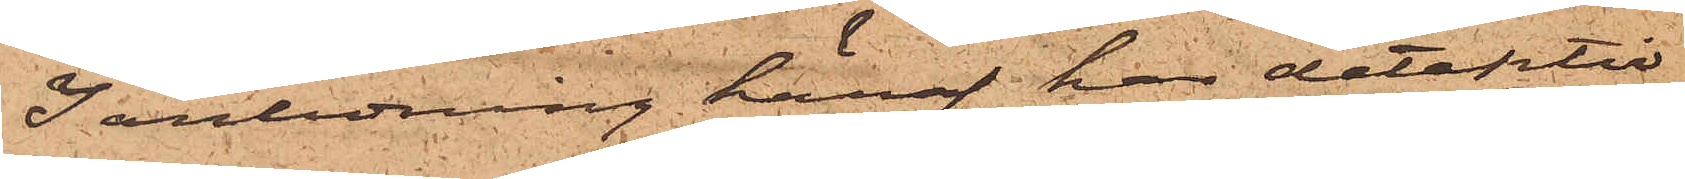I anledning häraf har detektiv¬
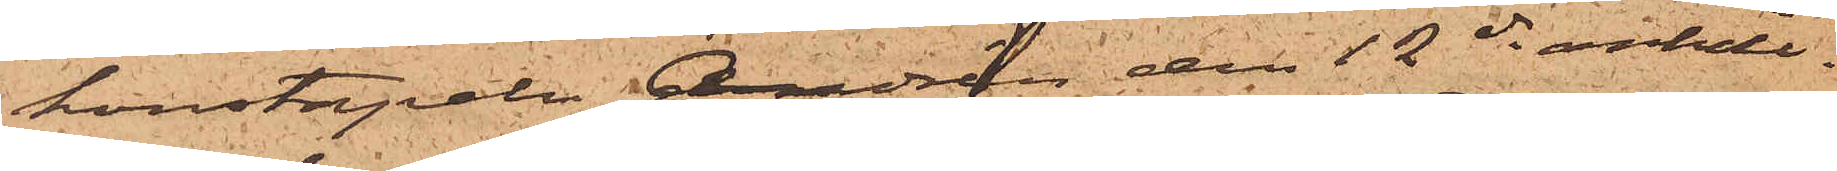konstapeln Andrén den 12 ds anhål¬
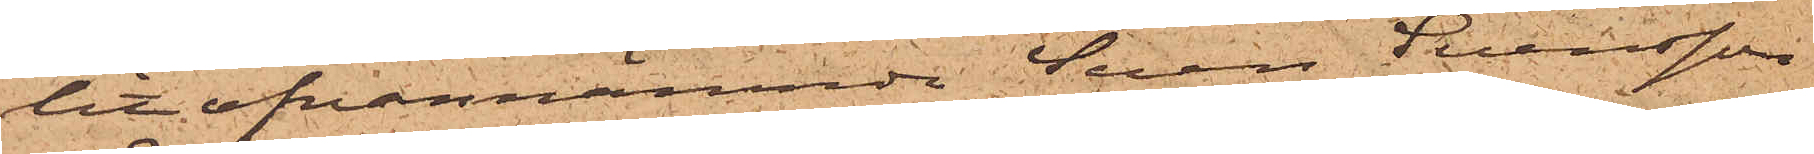lit ofvannämnde Sven Svensson
